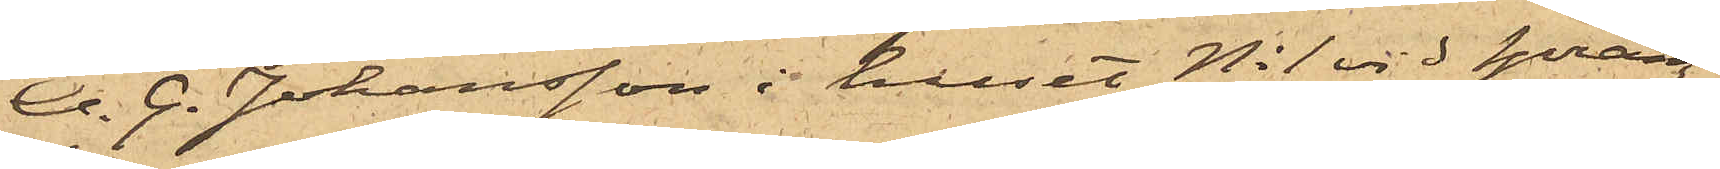A. G. Johansson i huset No 1 vid Spräng¬
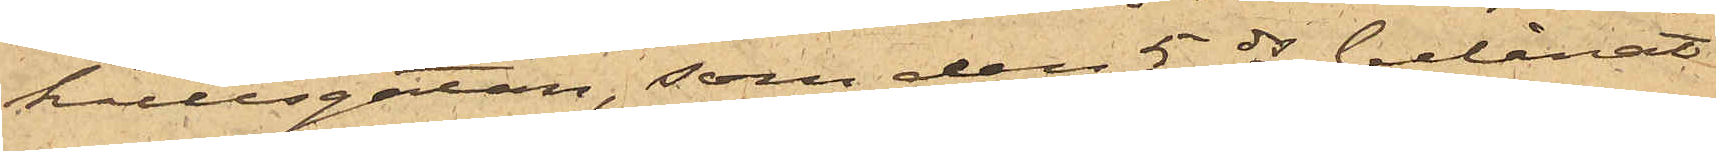kullsgatan, som den 5 ds belånat
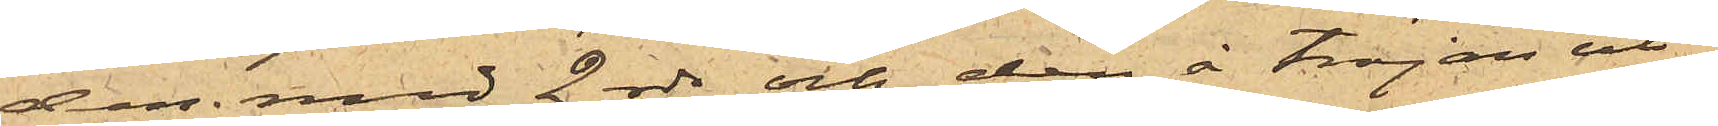den med 2 rdr, och den å tröjan ut¬
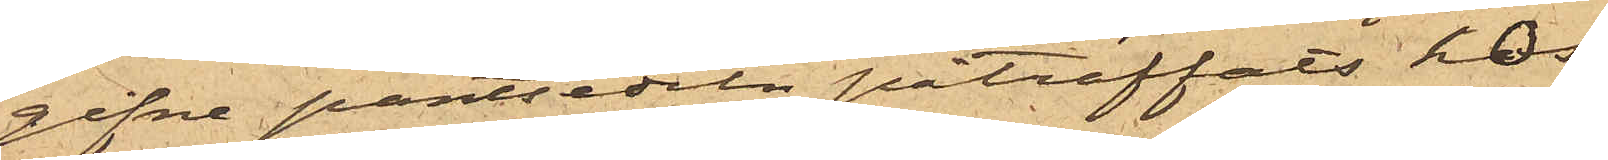gifne pantsedeln påträffats hos
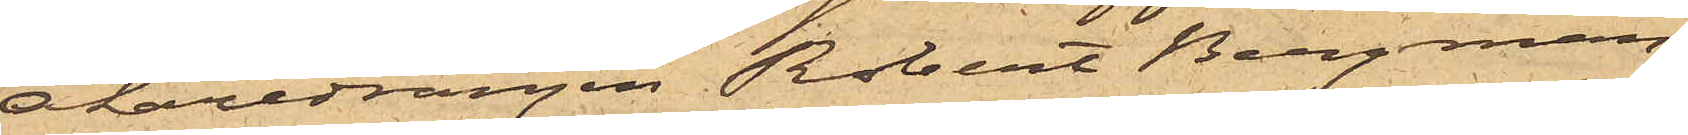Åkaredrängen Robert Bergman,
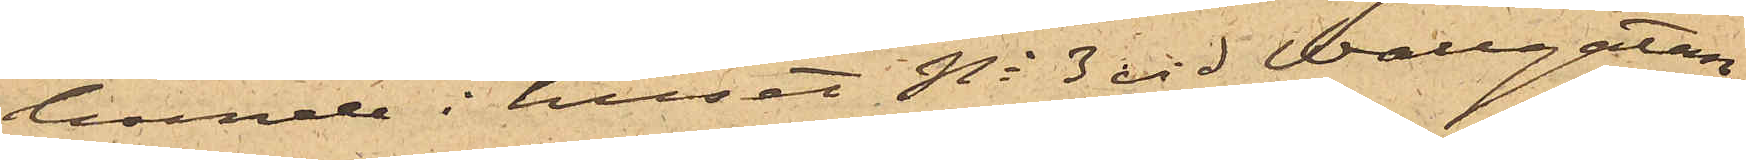boende i huset No 3 vid Wallgatan,
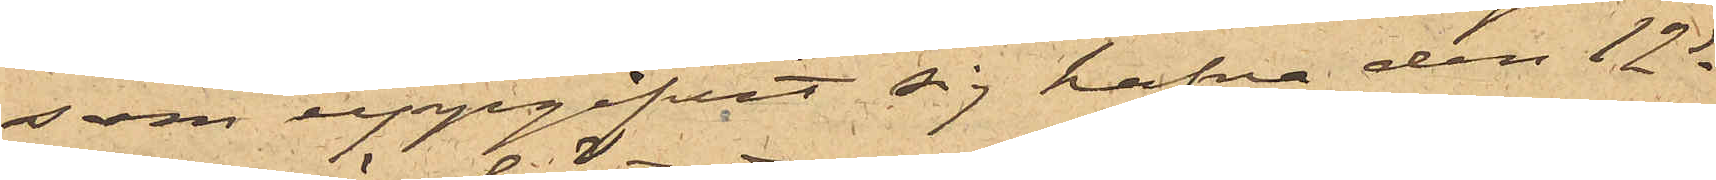som uppgifvit sig hafva den 12 ds
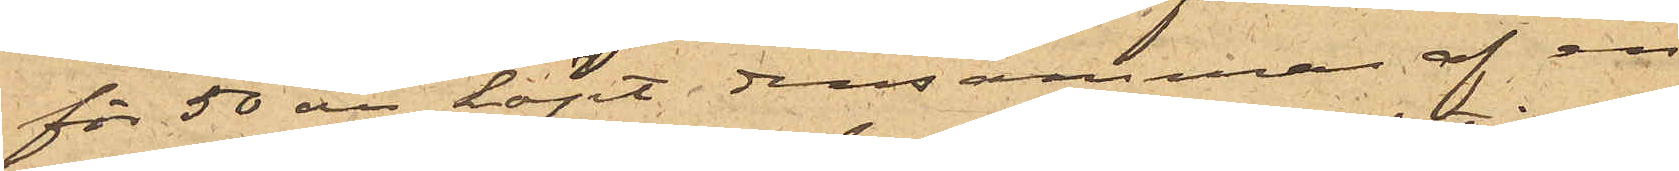för 50 öre köpt densamma af en
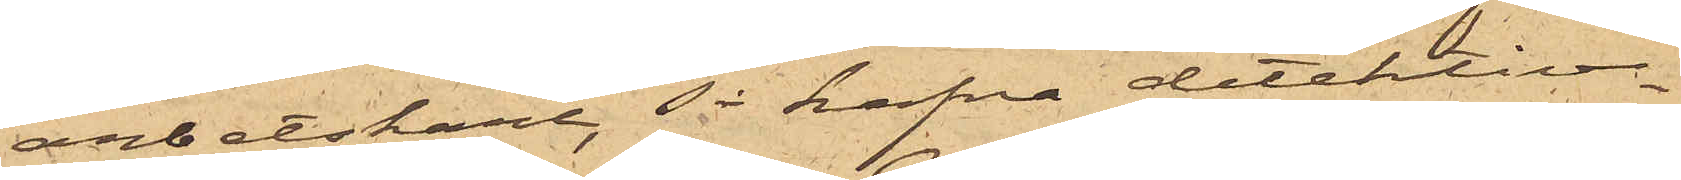arbetskarl, så hafva detektiv¬
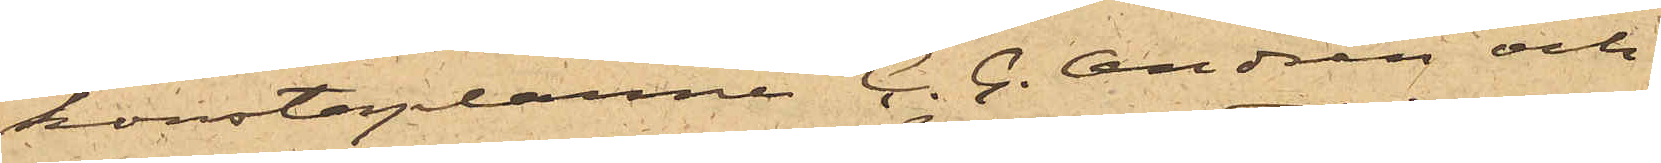konstaplarne C. G. Andrén och
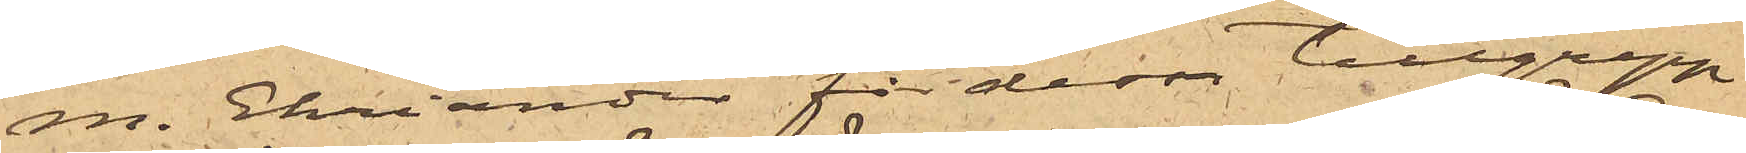M. Ehriander för dessa tillgrepp
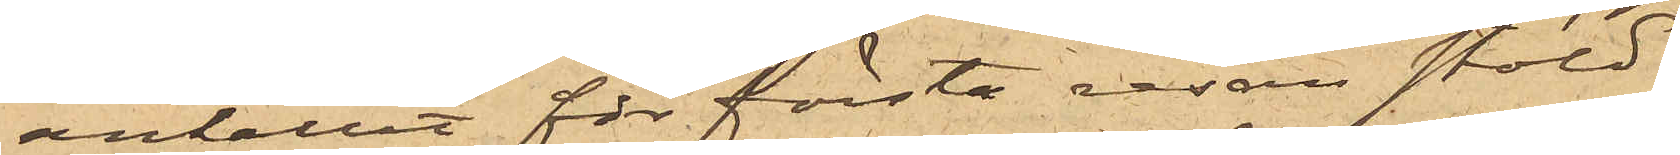anhållit för första resan stöld
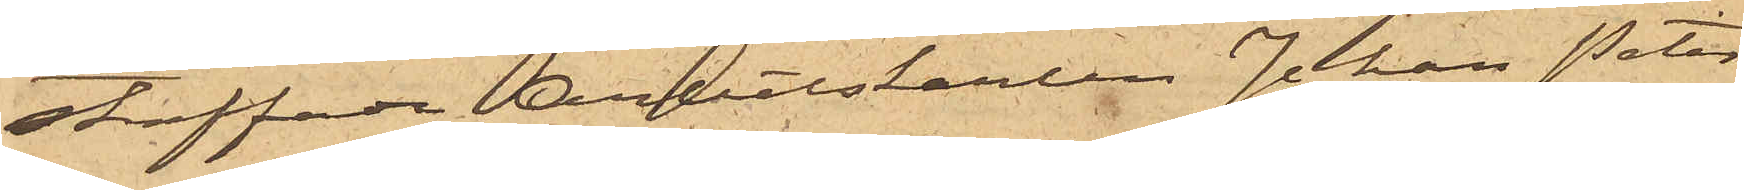straffade Arbetskarlen Johan Peter
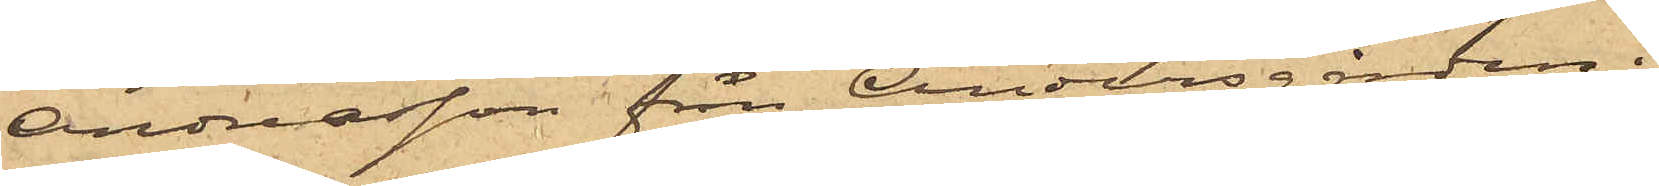Andreasson från Andersgården i
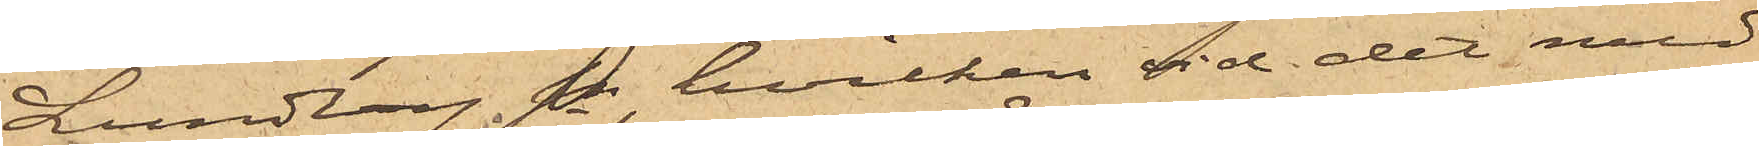Lundby sn, hvilken vid det med
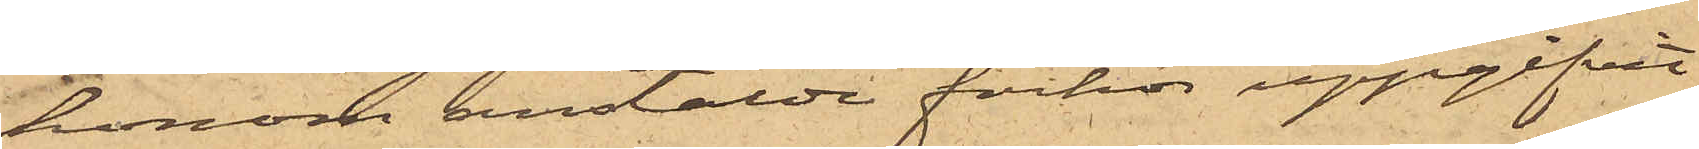honom anstälde förhör uppgifvit
